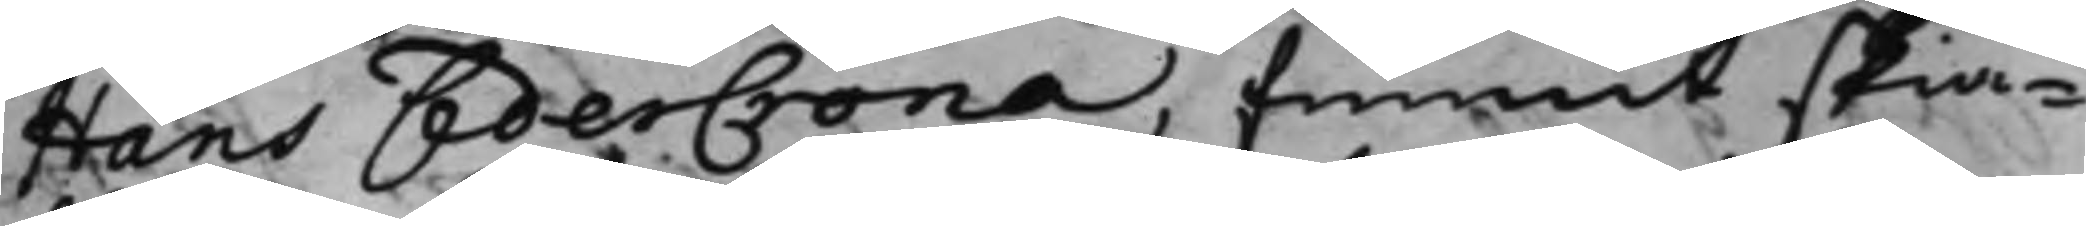Hans CederCrona, funnit skiä¬
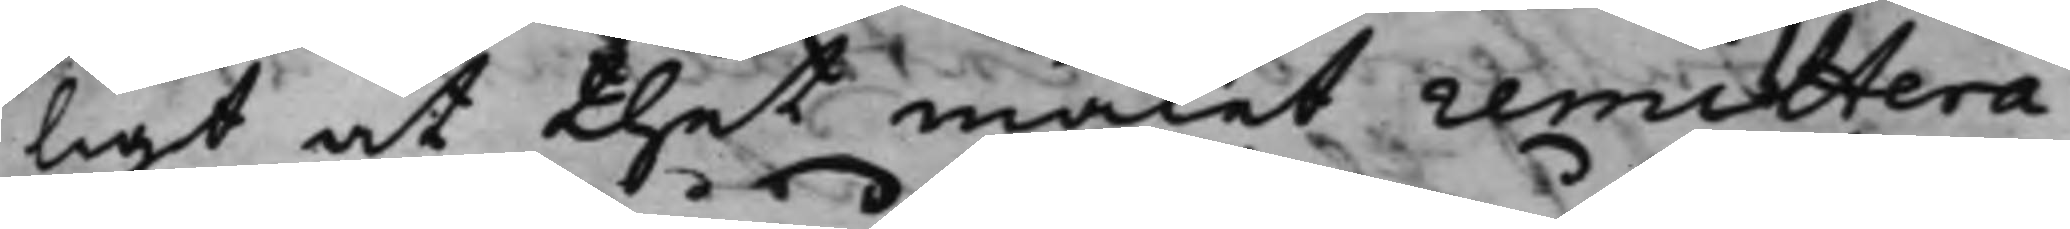ligt at thet målet remittera
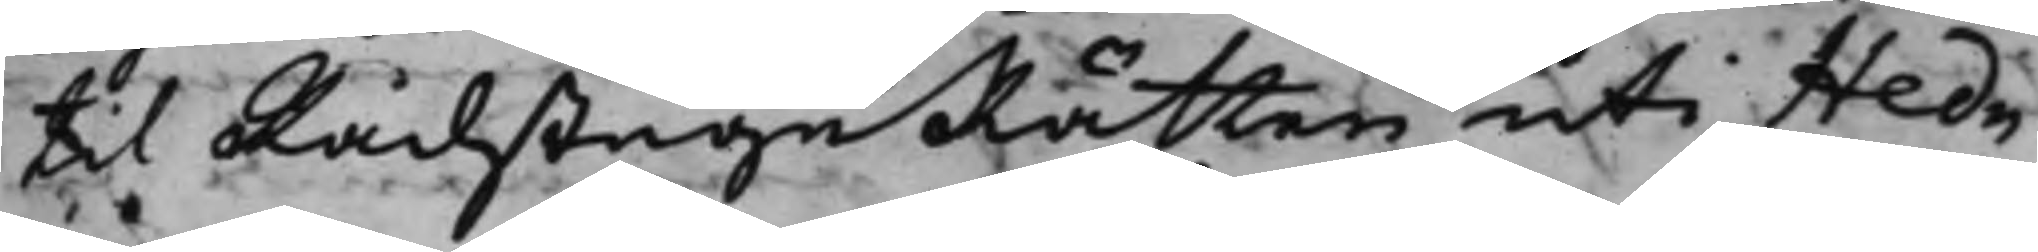til RådstuguRätten uti Hed¬
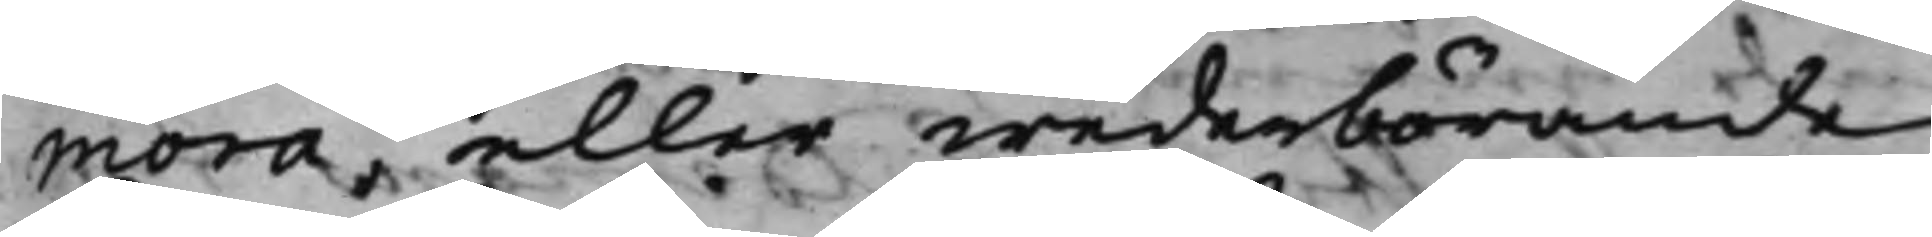mora eller wederbörande
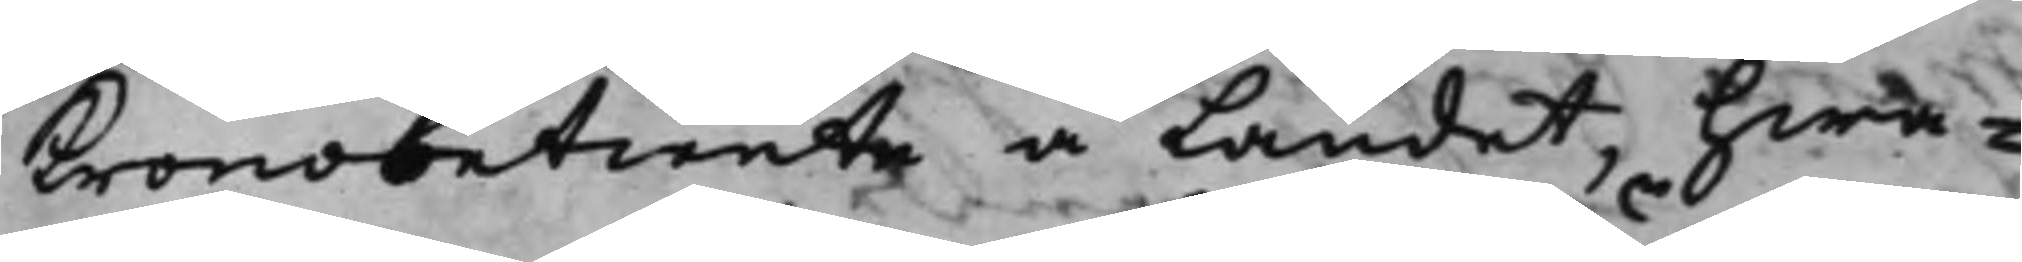Kronobetiente å Landet, hwa¬
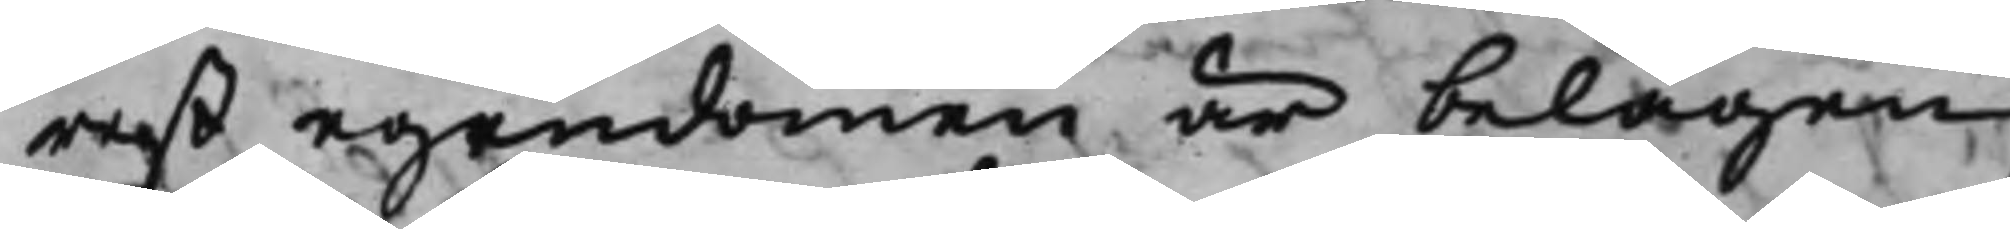ras egendomen är belägen,
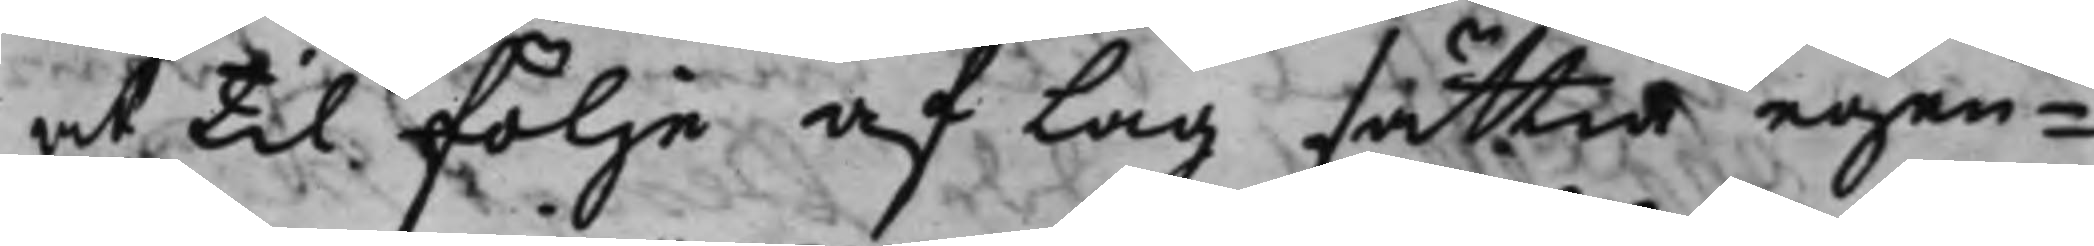at til föllje af Lag sättia egen¬
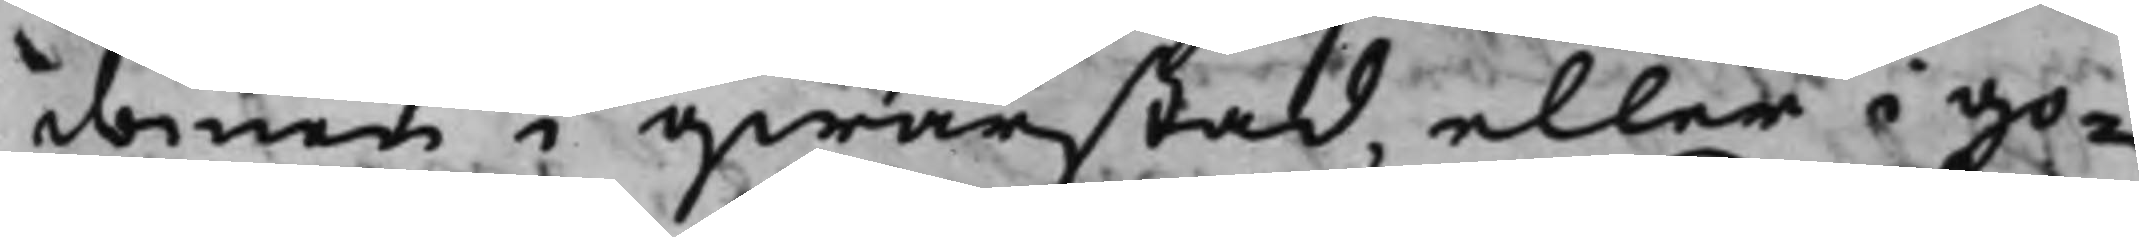domen i qwarstad, eller i go¬
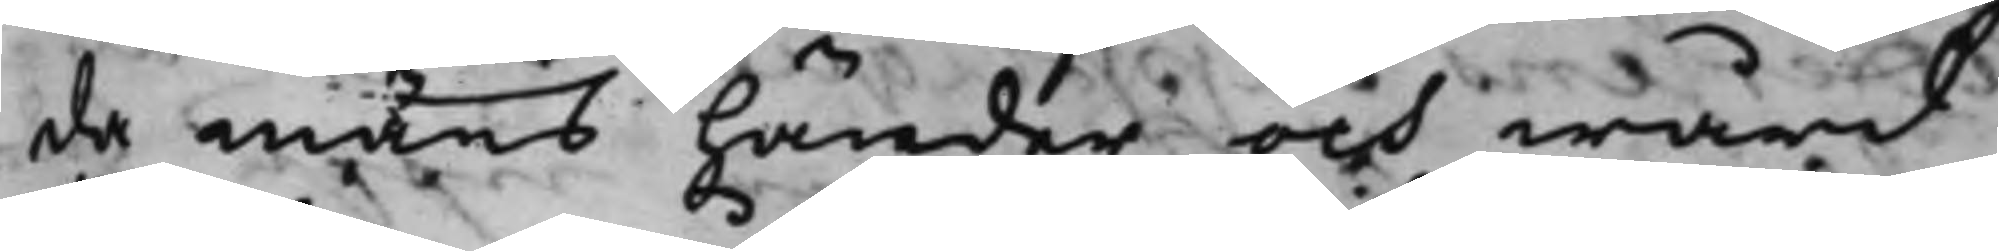da mäns händer och wård
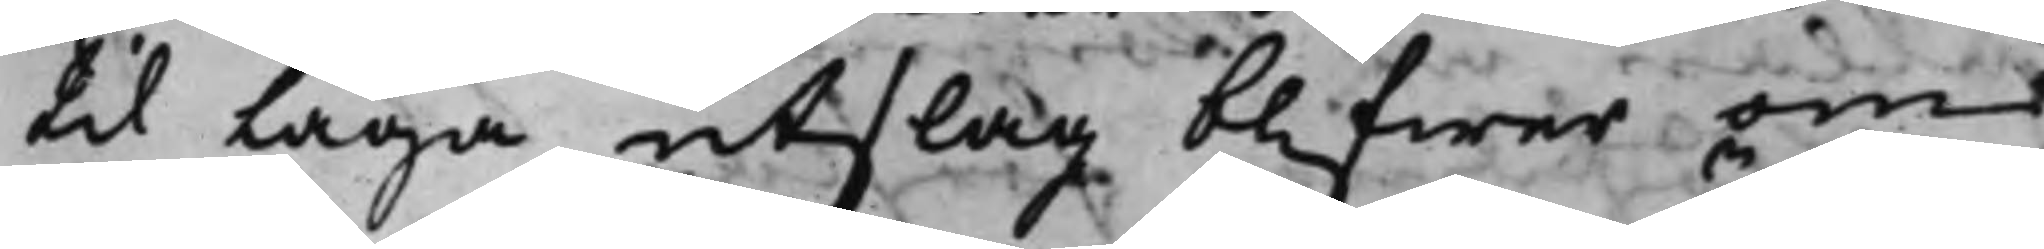til Laga utslag blifwer om
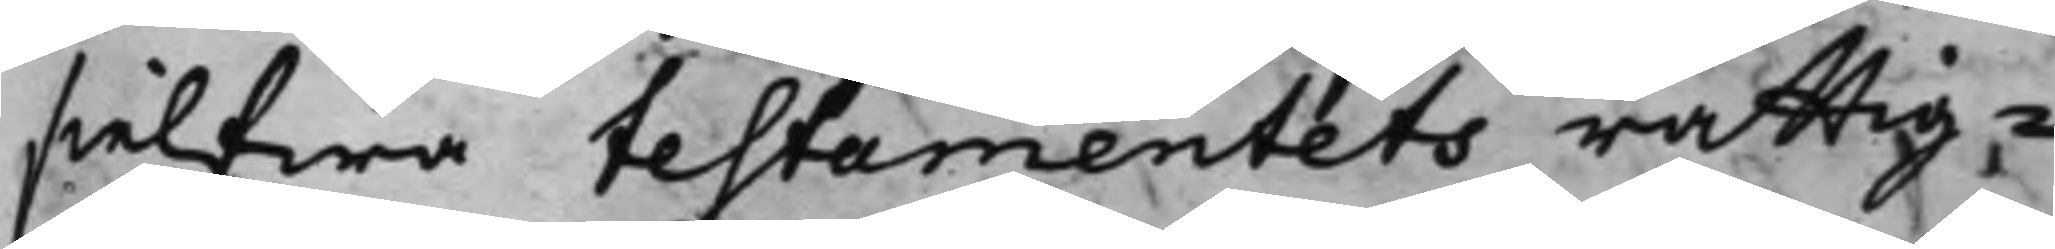sielfwa testamentets rättig¬
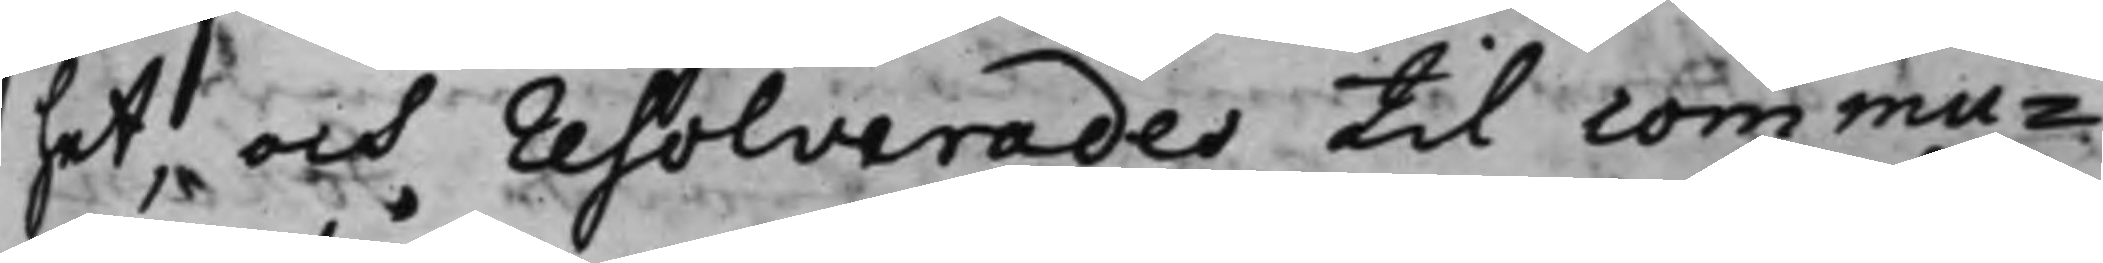het, och resolverades til commu¬
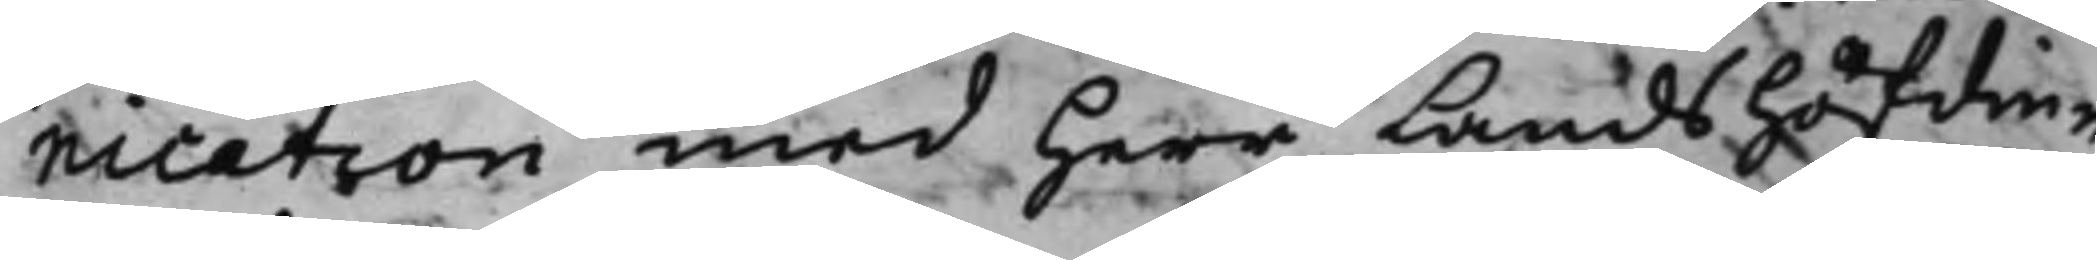nication med herr Landshöfdin¬
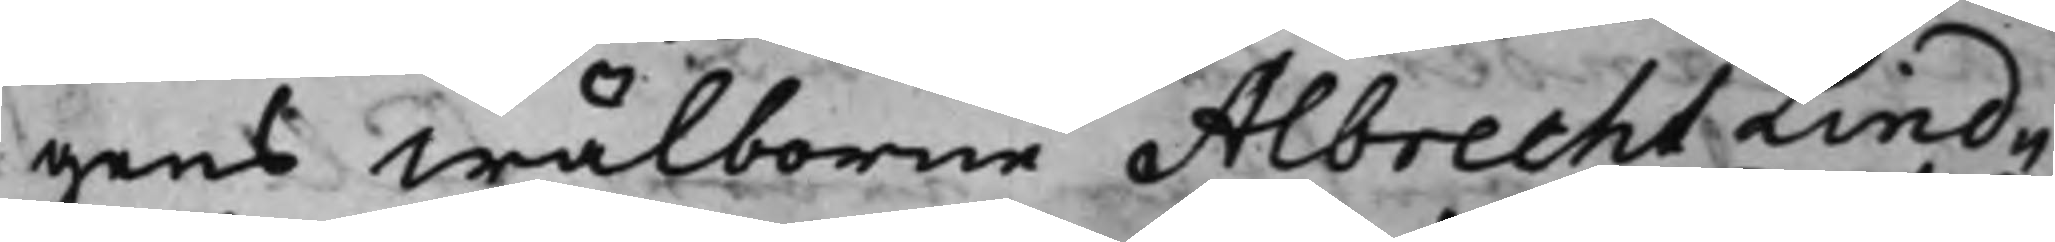gens Wälborne Albrecht Lind¬
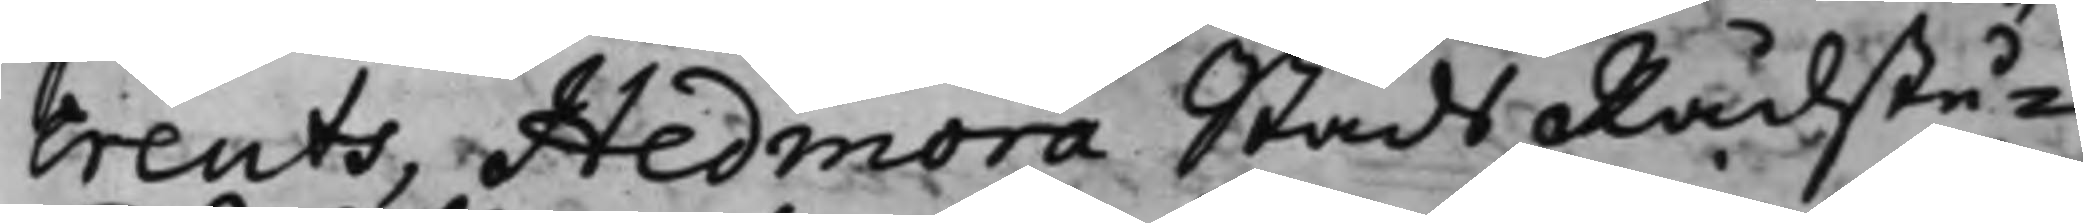Creuts, Hedmora Stads Rådstu¬
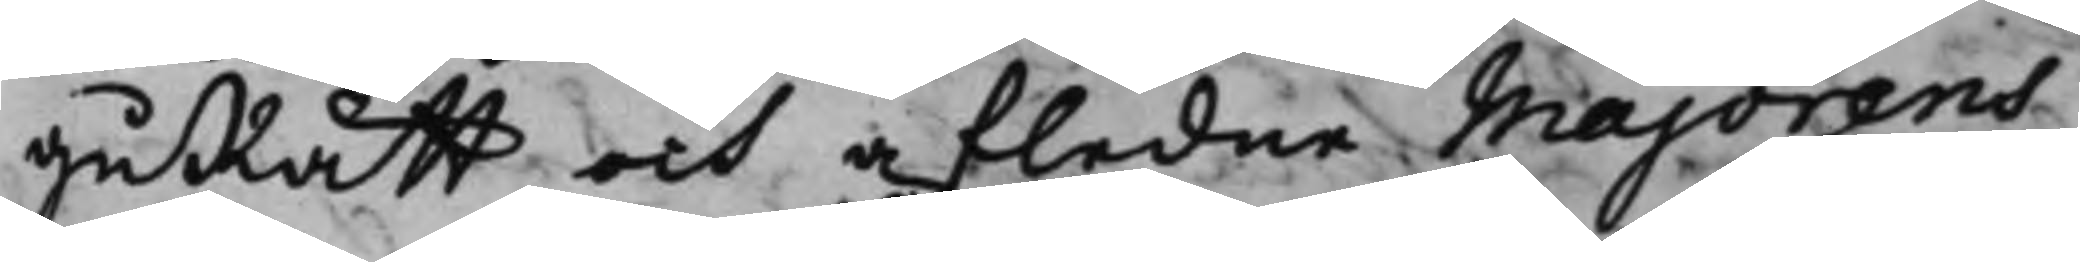guRätt och afledne Majorens
